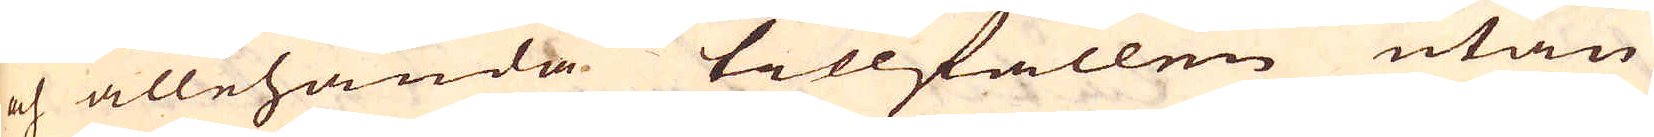och allehanda tillfällen utan
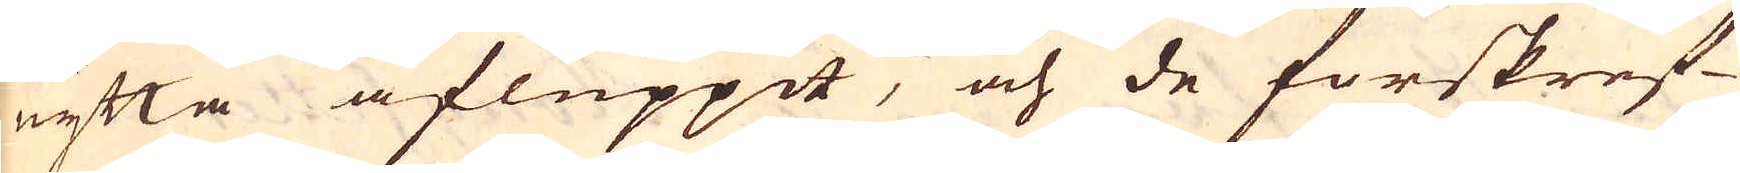nytta afluppit, och de förskref-
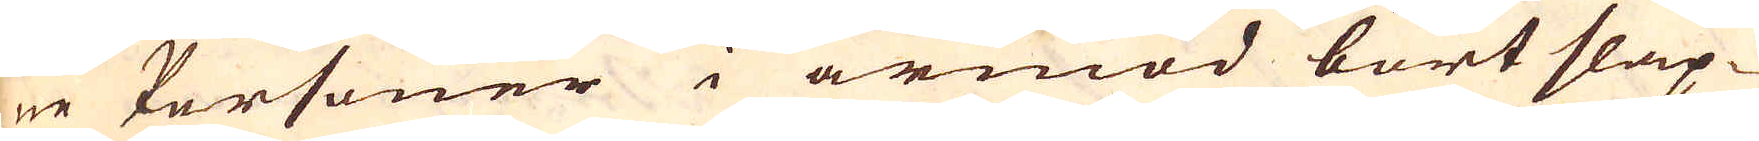ne Personer i armod bort släp-
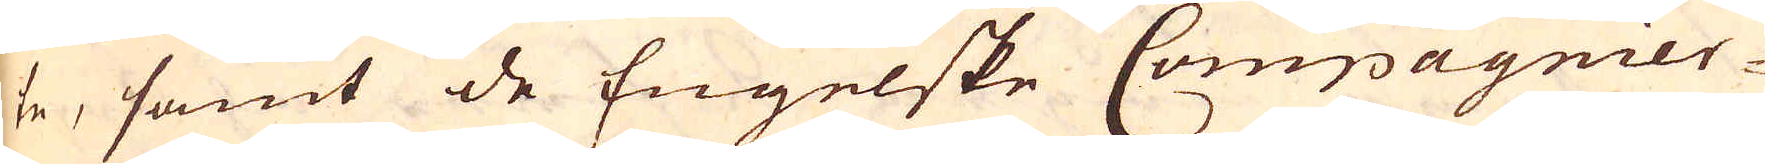te, samt de Engelske Compagnier-
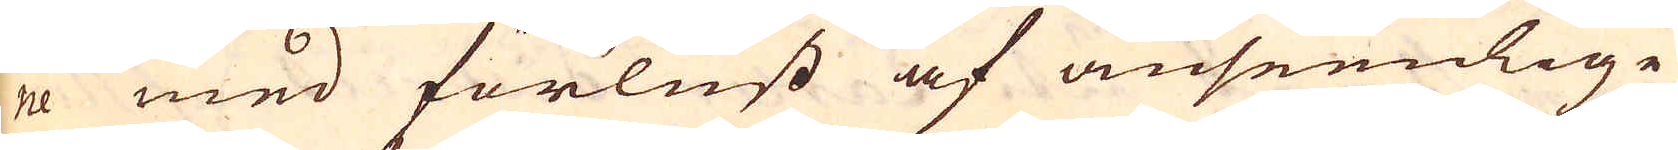ne med förlust af anseenlige
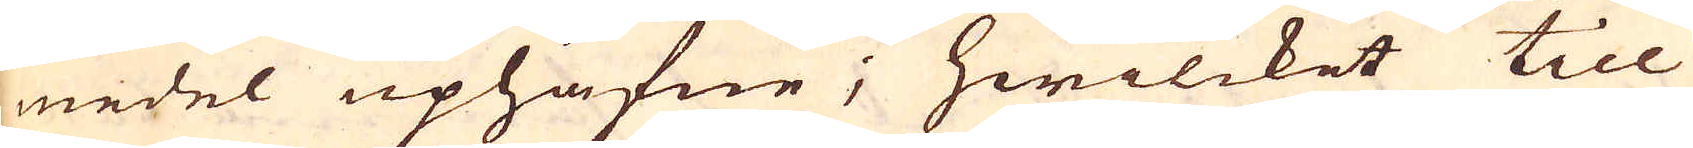medel uphäfne; hwilcket till
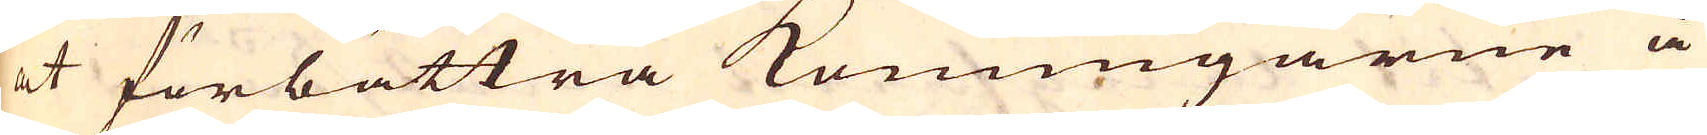at förbättra Konungarne å
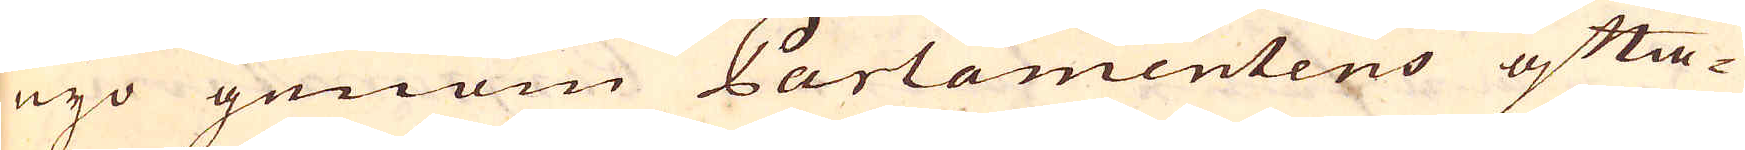nyo genom Parlamentens ofta-
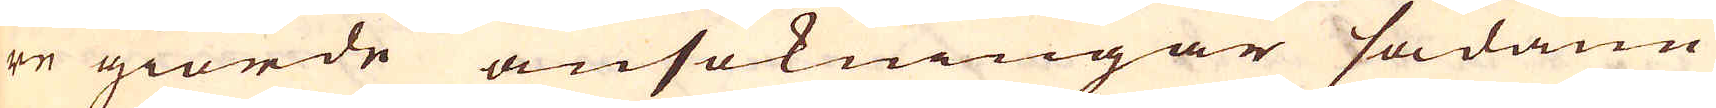re giorde ansökningar sådane
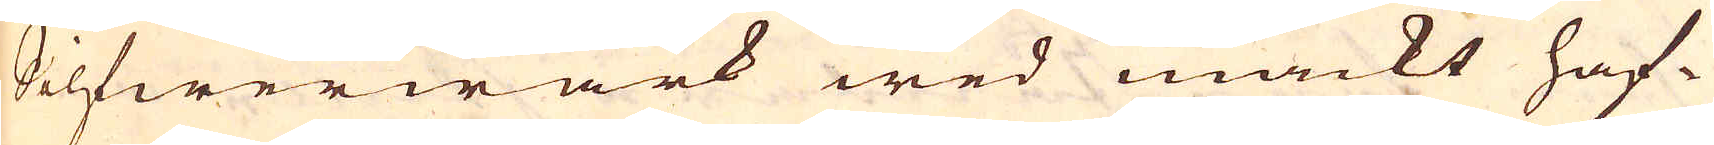Silfwerwärk wed mackt haf-
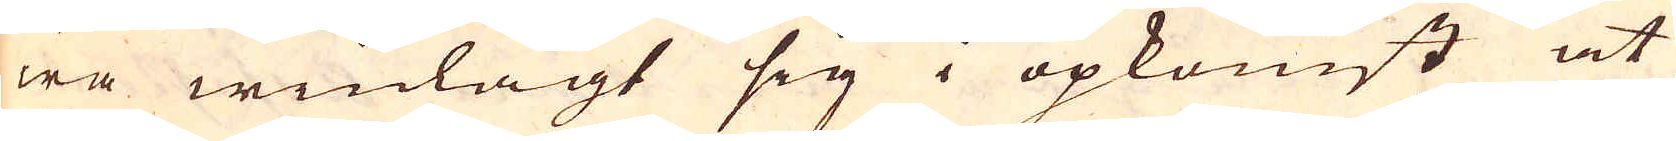wa winlagt sig i opkomst at
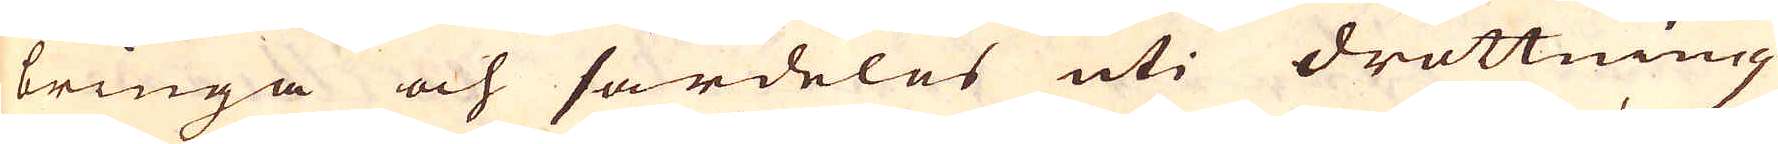bringa och särdeles uti drottning
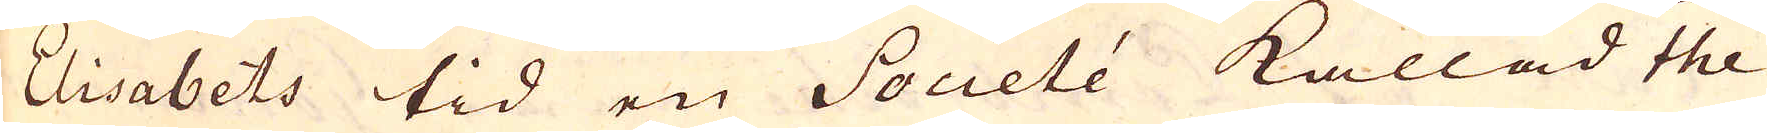Elisabets tid en Societé kallad the
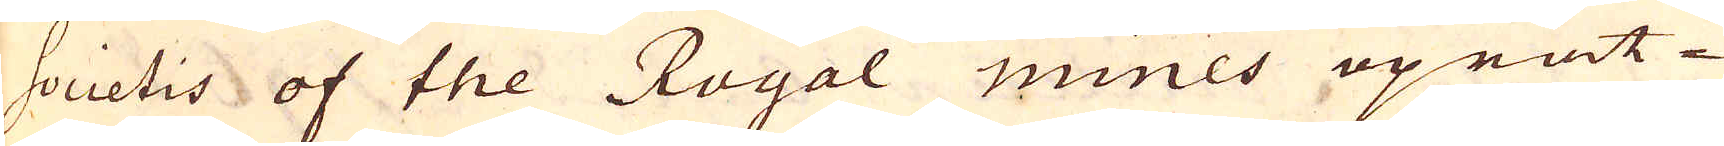Societis of the Royal mines uprät-
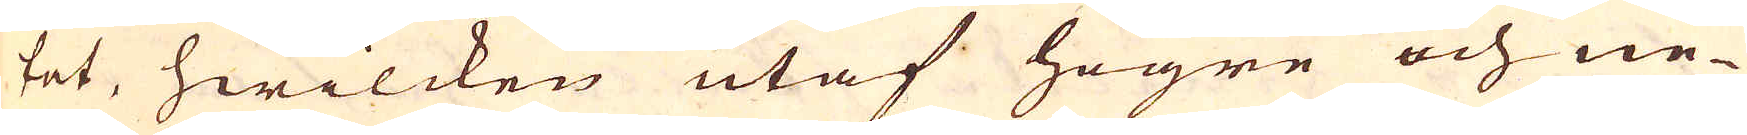tat, hwilcken utaf högre och ne-
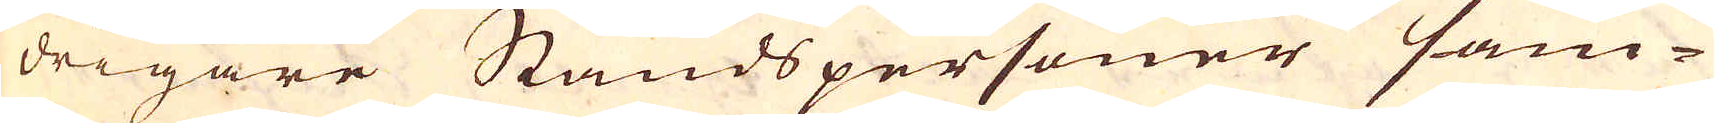drigare Ståndspersoner sam-
